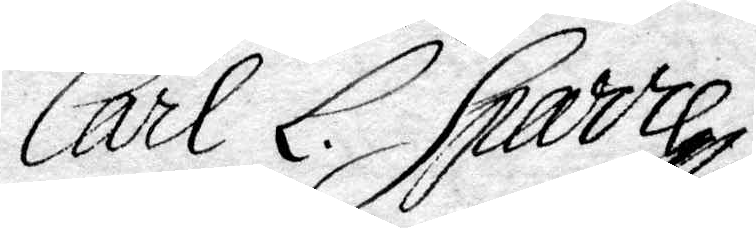Carl L. Sparre
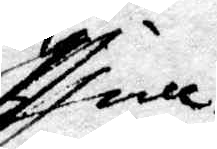kril.
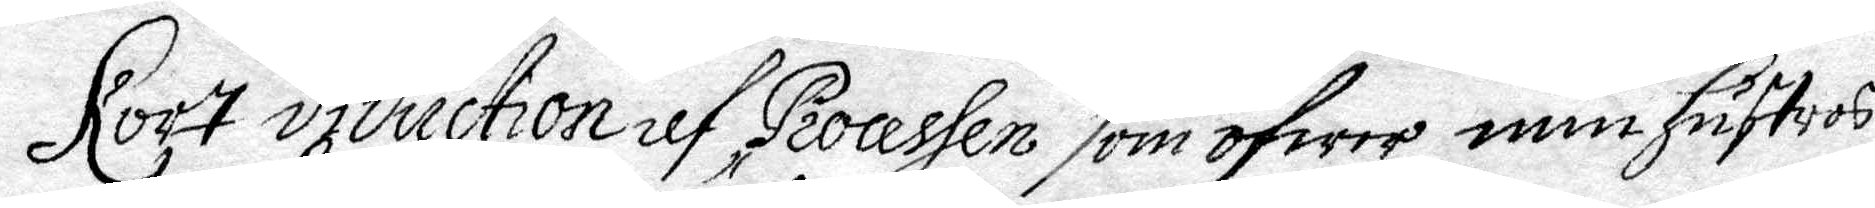Kort diduction af Processen som öfwer min hustrus
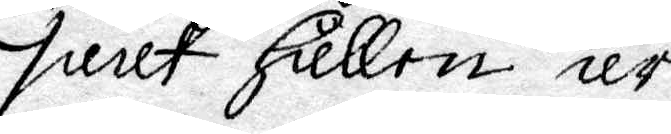saak hållen är.
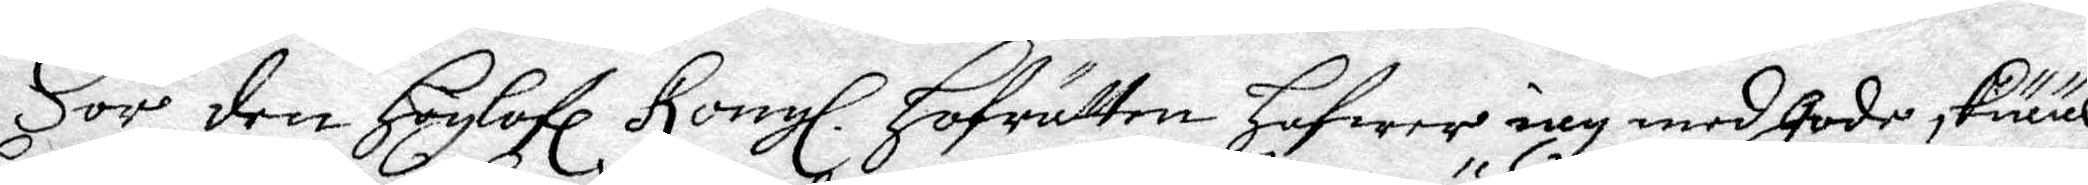För den Höglofl. Kongl. Hofrätten hafwer iag med gode sKiääl
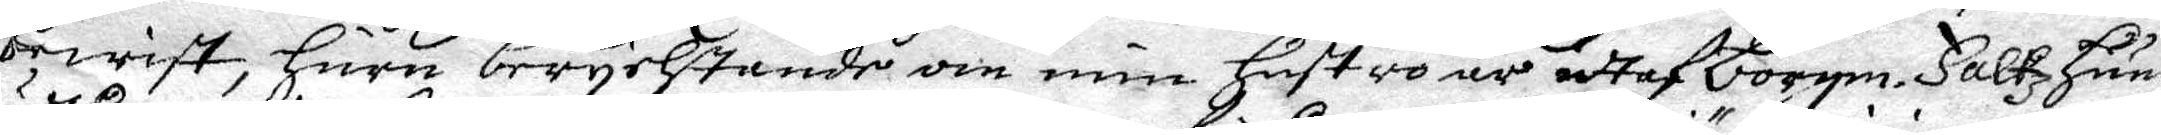bewist, huru berychtande om min hustro är uttaf borgm. Falkz huus
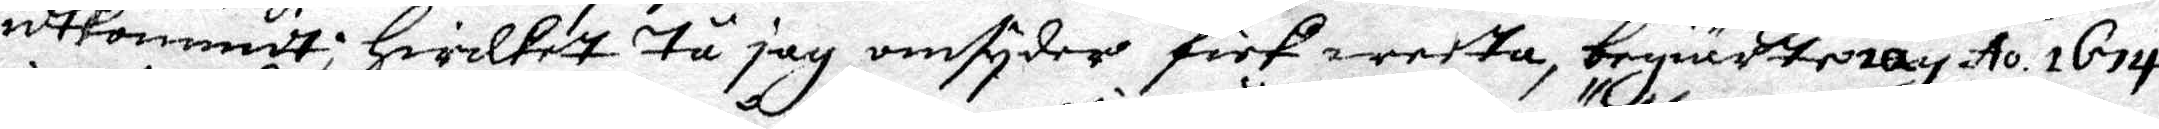utkommidt; hwilket tå jag omtyder fick weeta, begiärte iag Ao 1674
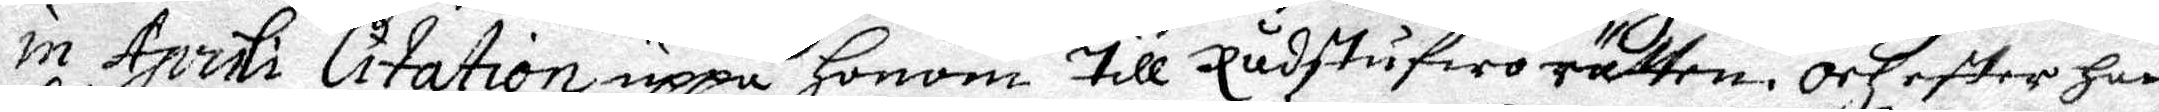in Aprili Citation uppå honom till Rådstufwo rätten. Och efter han
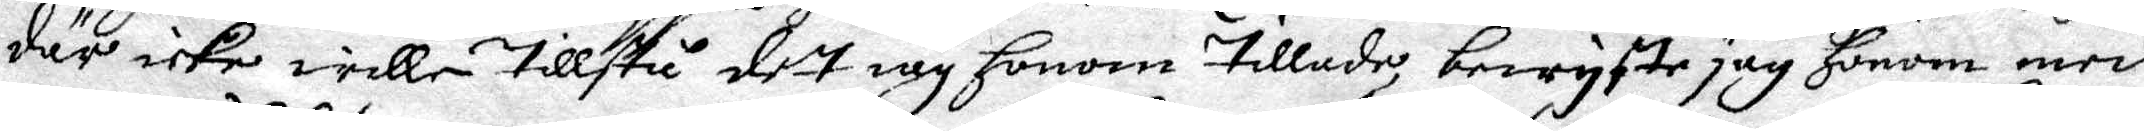där icke wille tillstå dett iag honom tillade, bewyste jag Honom medh
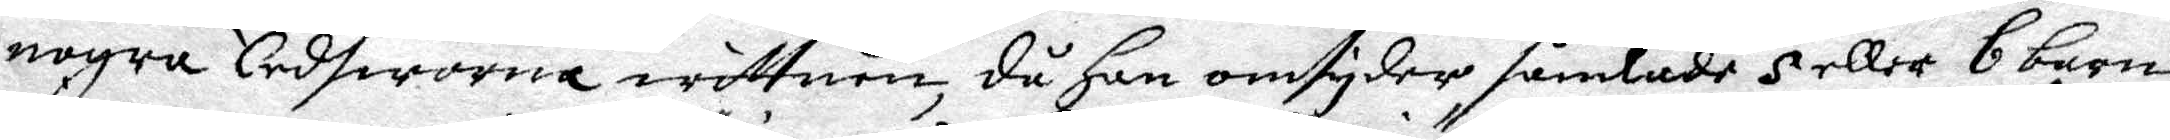nogra Eedsworna wittnen, då han omtyder samlade 5 eller 6 barn
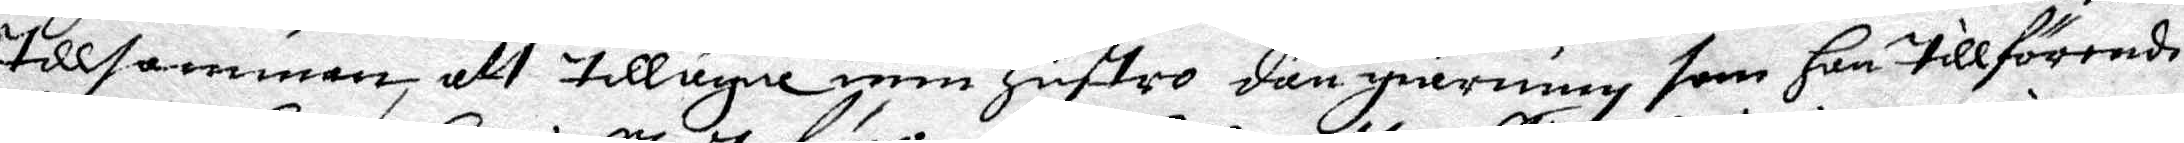tillsamman, att tillägna min hustro dän giärning, som han tillförende
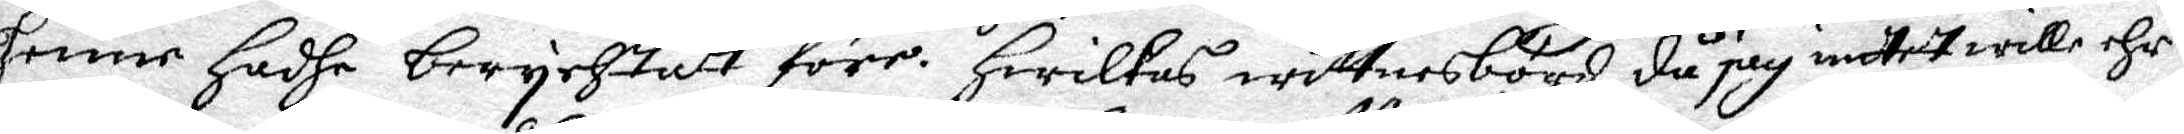henne hadhe berychtatt före. Hwilkas wittnesbörd då jag intet wille ehr¬
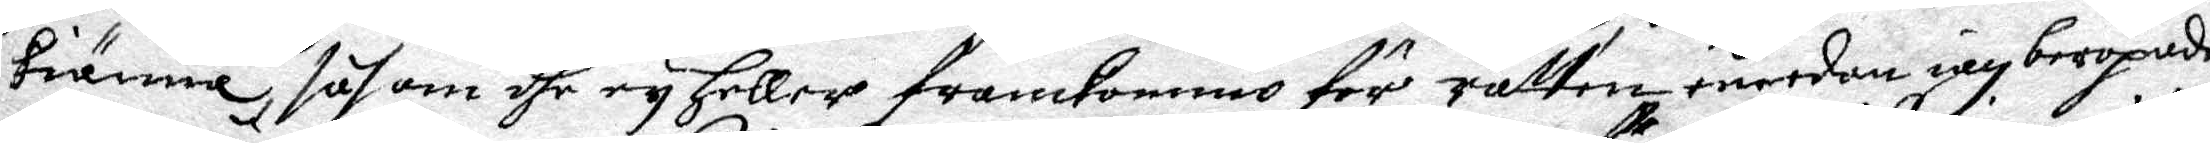kiänna, såsom dhe ey heller framkommo för rätten emedan iag beropade
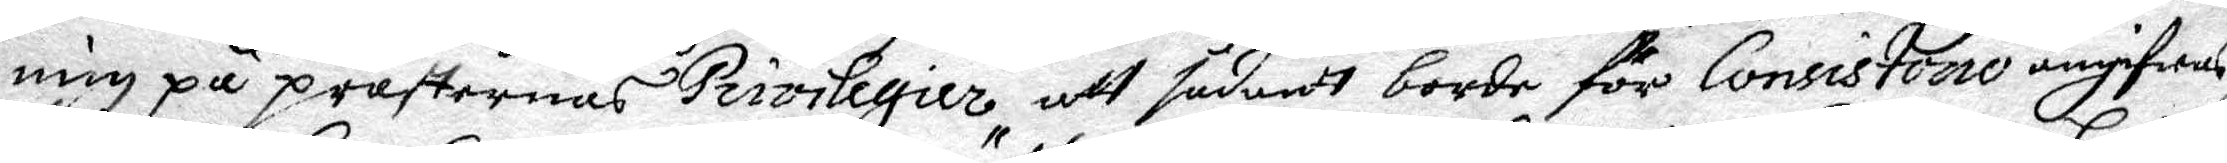mig på prästernas Privilegier att sådant borde för Consistorio angifwas
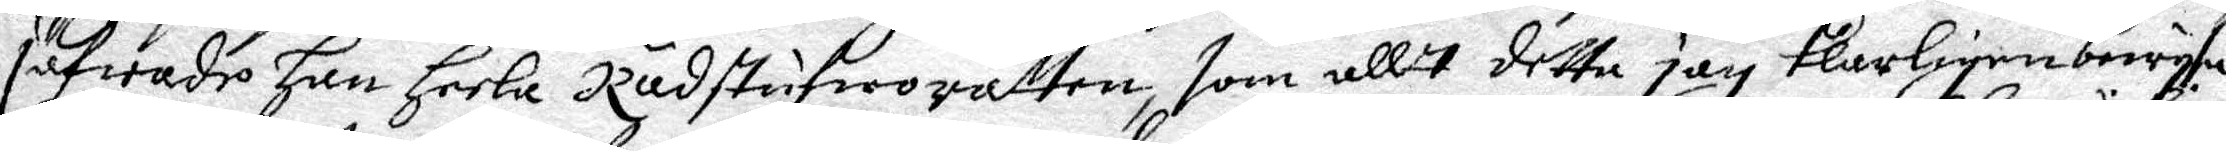hafwade han heela Rådstufworätten, som allt detta jag klarligen bewysa
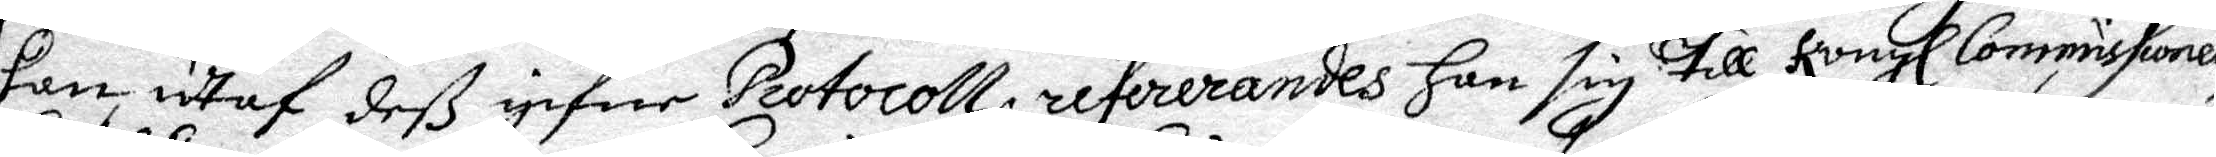kan, utaf deß gifne Protocoll, refererandes han sig till Kongl: Commissionen
